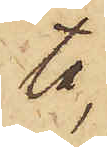ta,
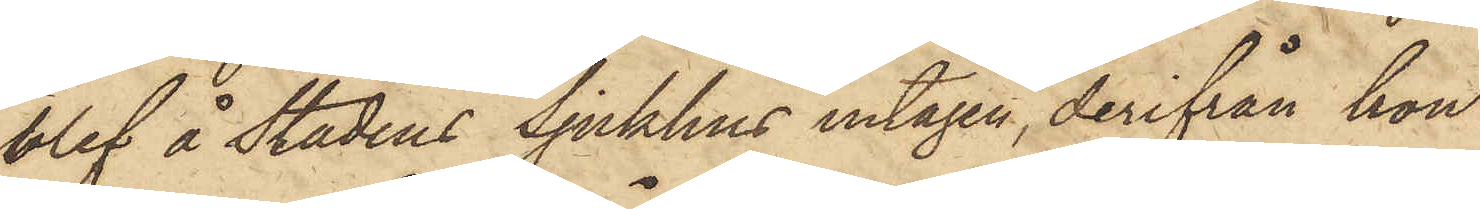blef å stadens Sjukhus intagen, derifrån hon
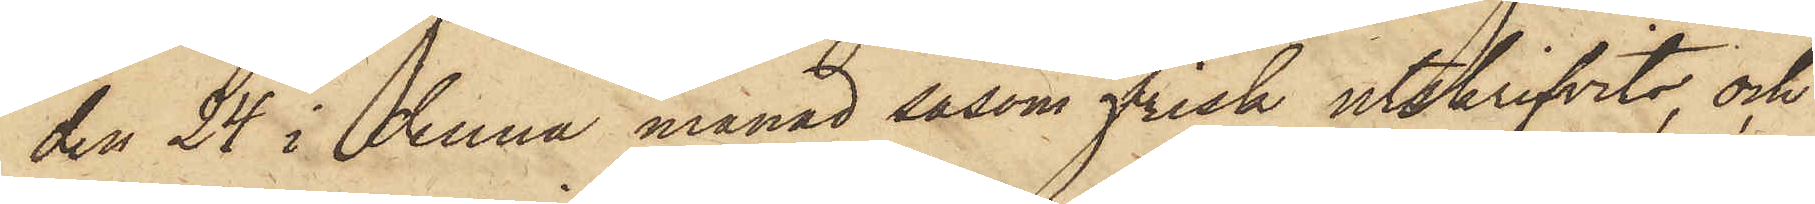den 24 i denna månad såsom frisk utskrifvits, och
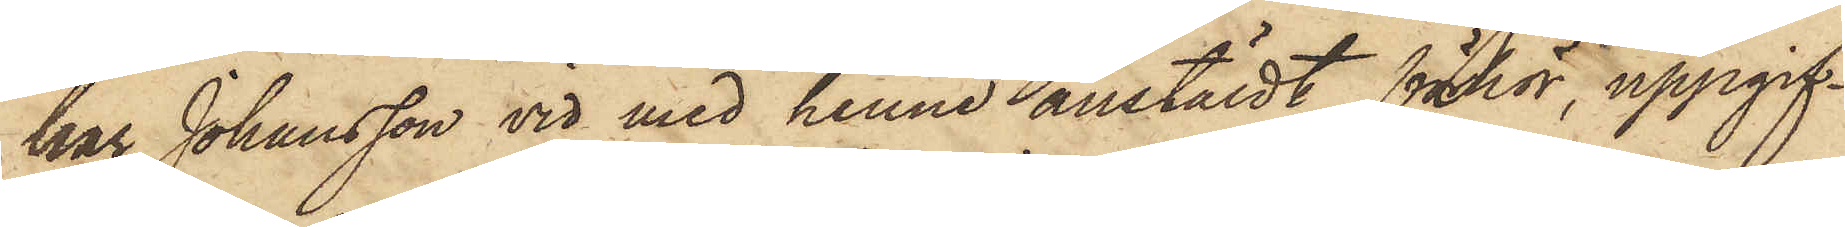har Johansson vid med henne anstäldt förhör, uppgif¬
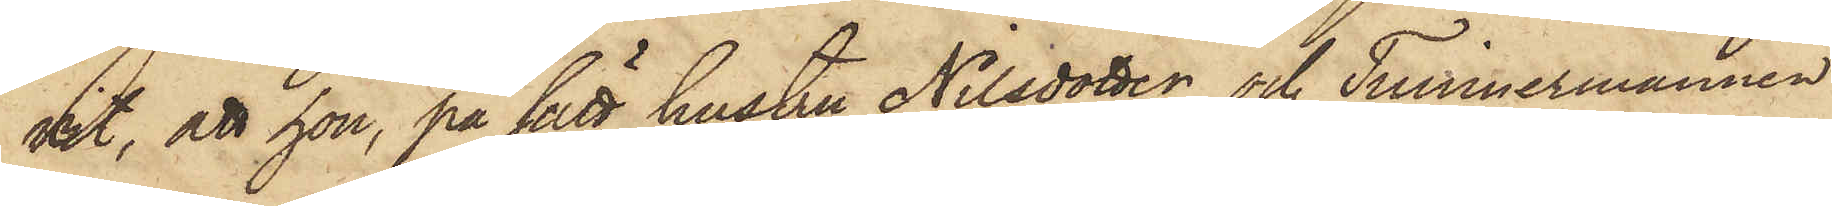vit, att hon, på sätt hustru Nilsdotter och Timmermannen
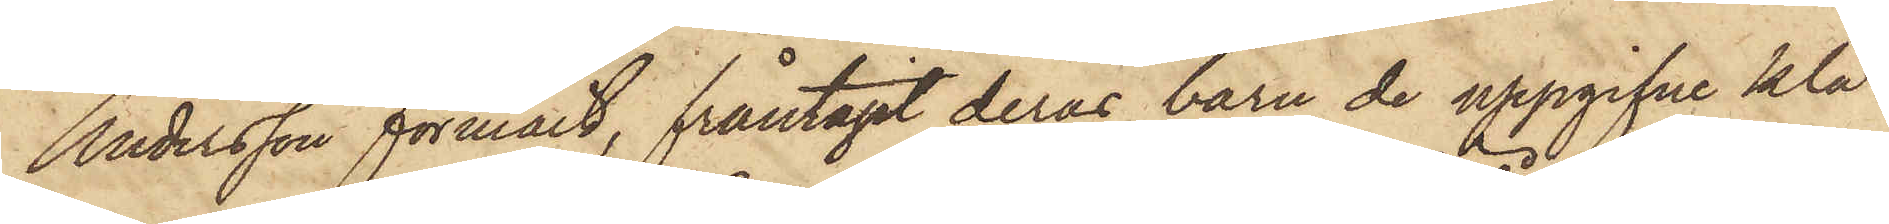Andersson förmält, fråntagit deras barn de uppgifne klä¬
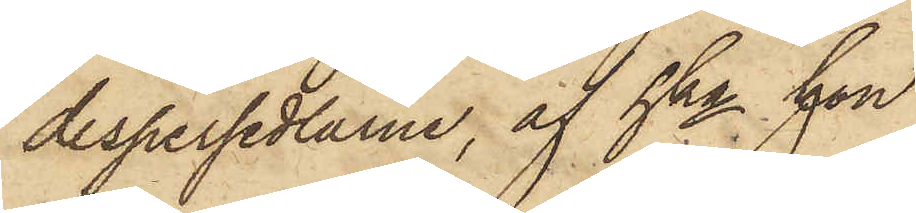despersedlarne, af hka hon
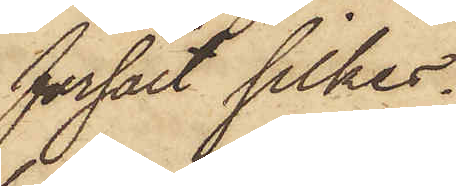försålt silkes¬
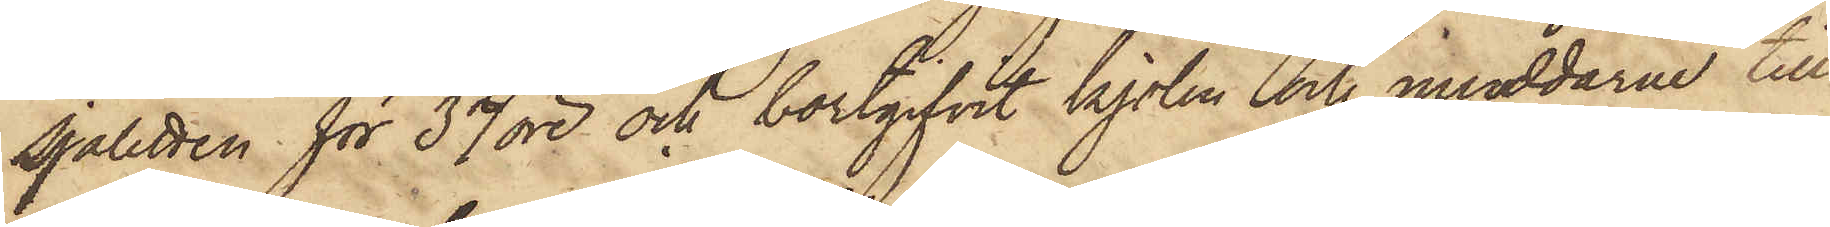sjaletten för 37 öre och bortgifvit kjolen och muddarne till
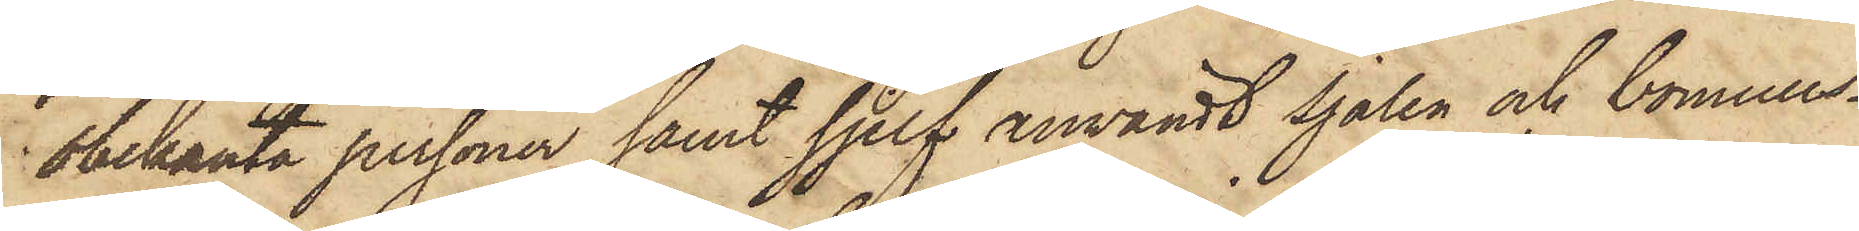obekanta personer samt sjelf användt sjalen och bomulls¬
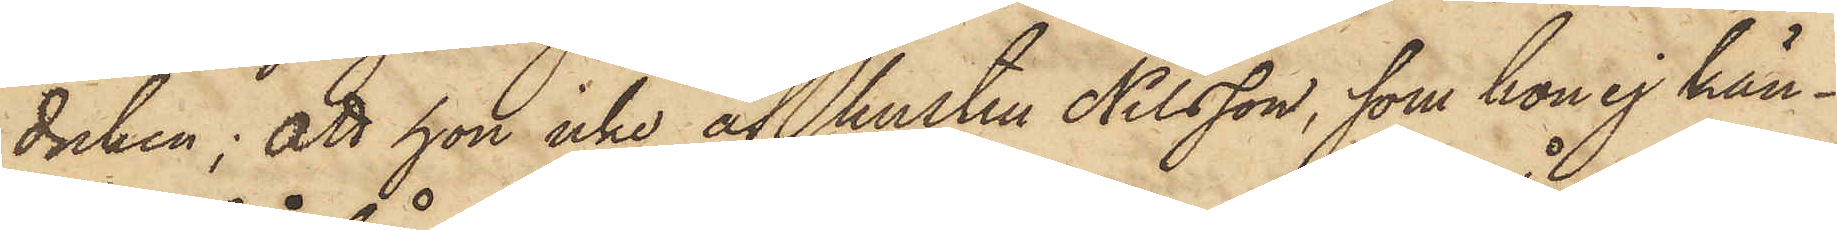duken; att hon icke af hustru Nilsson, som hon ej kän¬
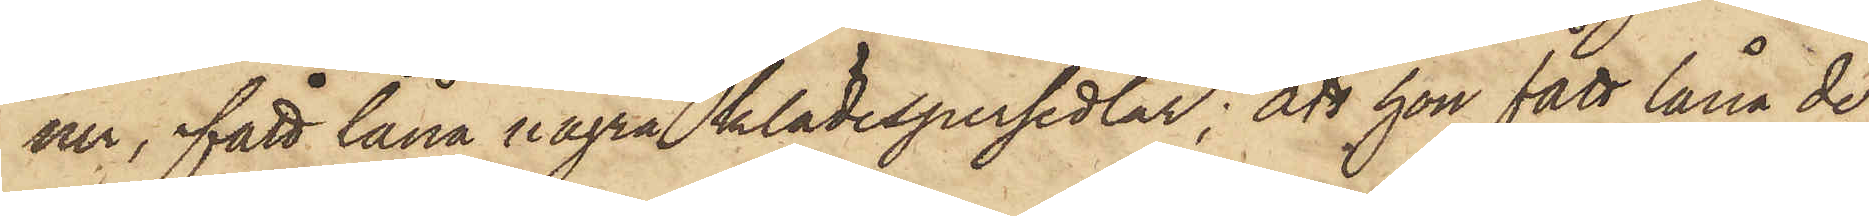ner, fått låna några klädespersedlar; att hon fått låna de
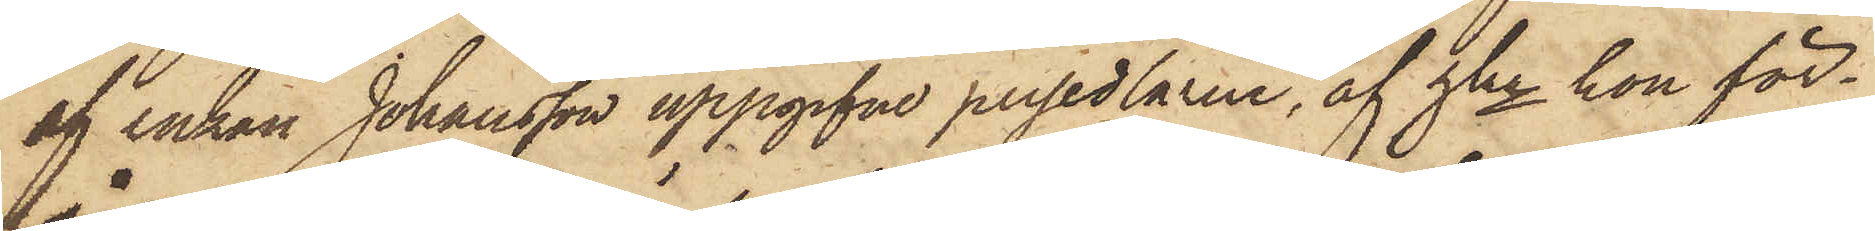af enkan Johansson uppgifne persedlarna, af hka hon för¬
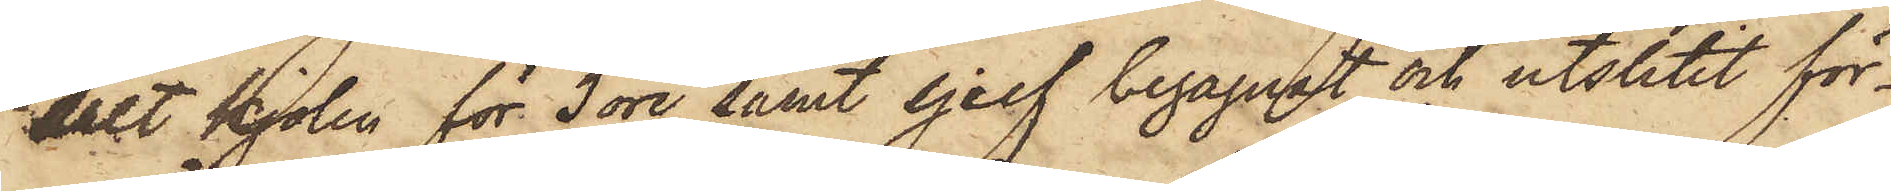sålt kjolen för 3 öre samt sjelf begagnat och utslitit för¬
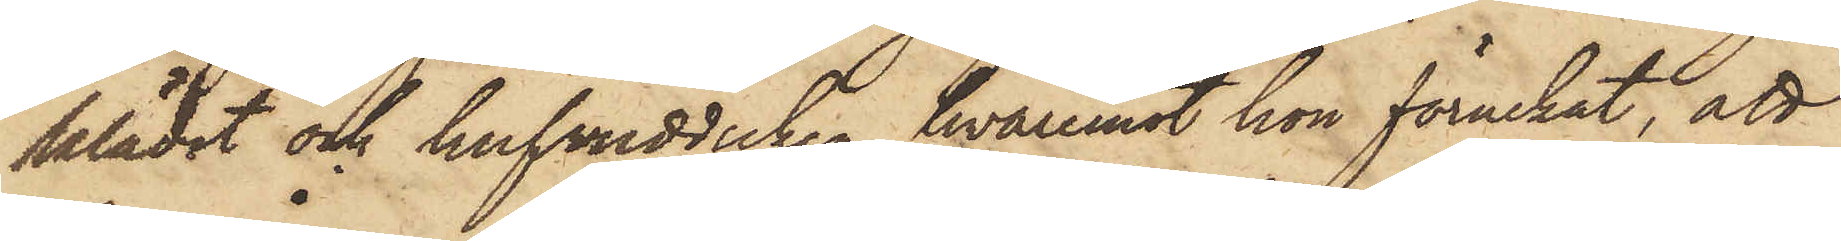klädet och hufvudduken, hvaremot hon förnekat, att
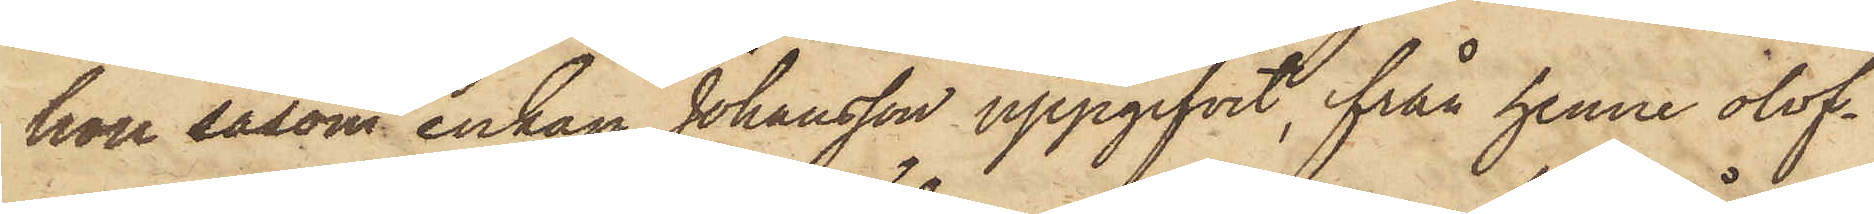hon såsom enkan Johansson uppgifvit, från henne olof¬
